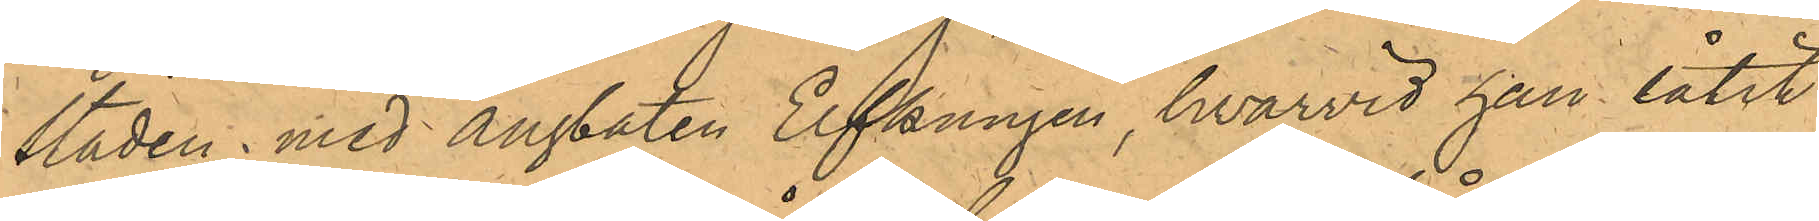staden med ångbåten Elfkungen, hvarvid han låtit
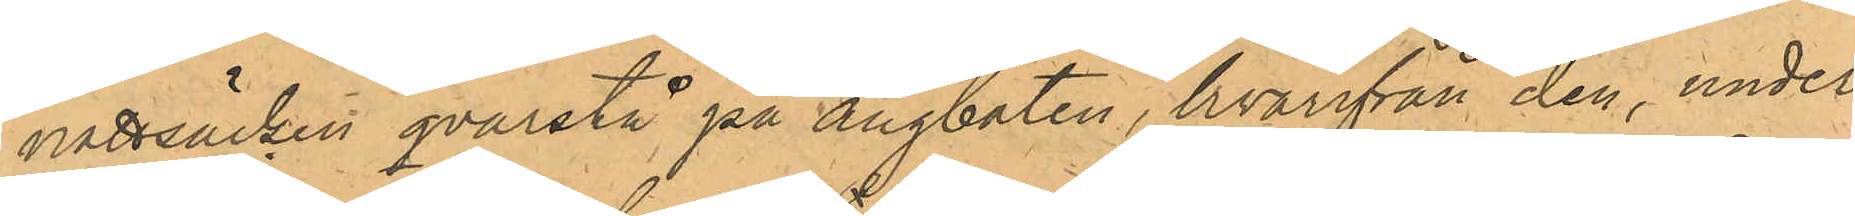nattsäcken qvarstå på ångbåten, hvarifrån den, under
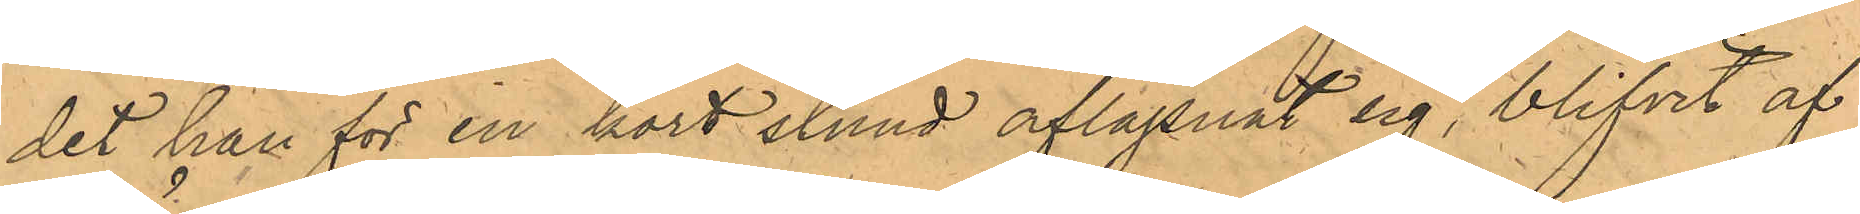det han för en kort stund aflägsnat sig, blifvit af
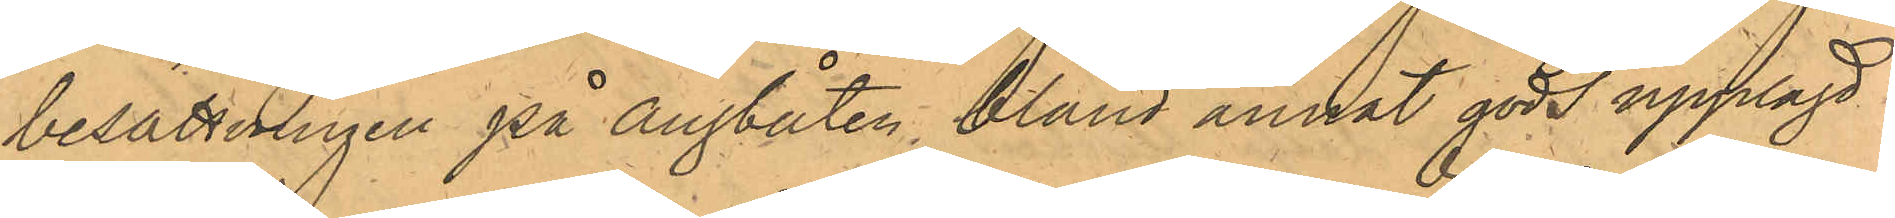besättningen på ångbåten, bland annat gods upplagd
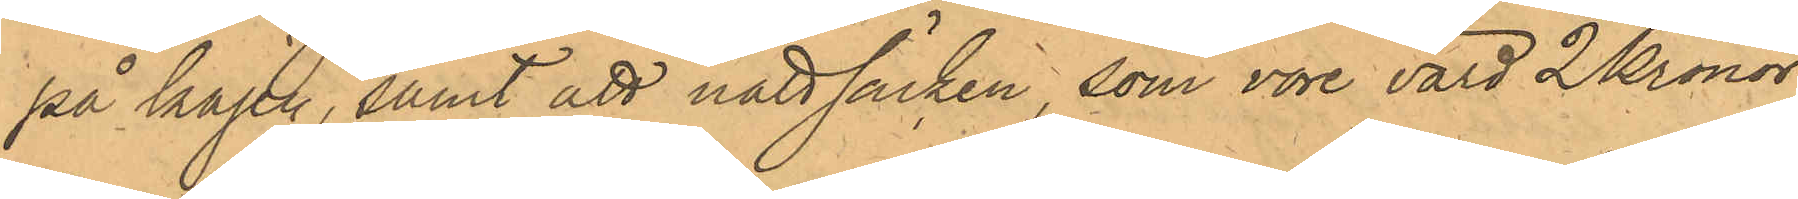på kajen, samt att nattsäcken, som vore värd 2 Kronor
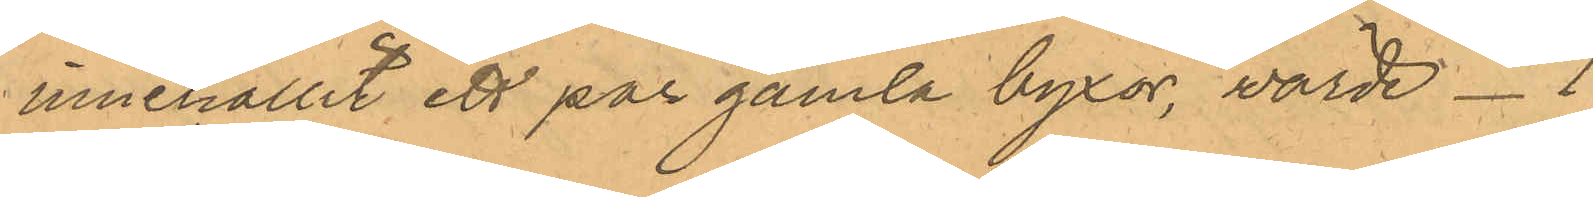innehållit ett par gamla byxor värde - 1
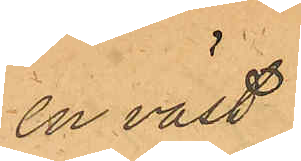en väst
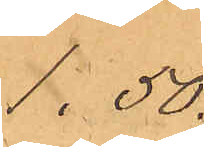1.50.
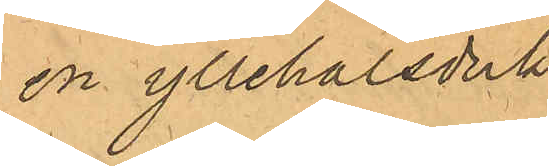en yllehalsduk
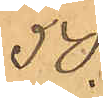50.
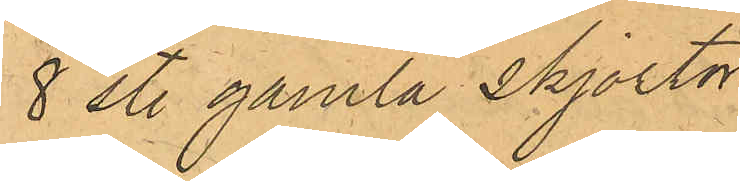8 st. gamla Skjortor
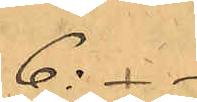6: - -
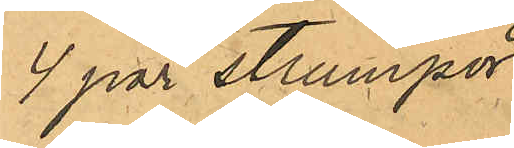4 par strumpor
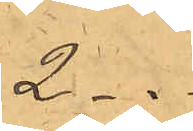2 - " -
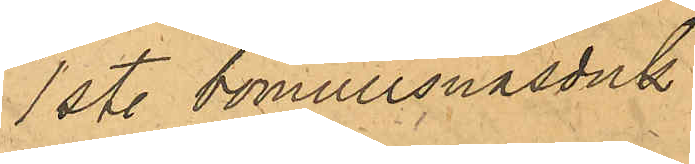1 st. bomullsnäsduk
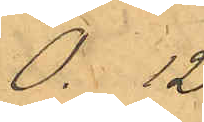0. 12.
